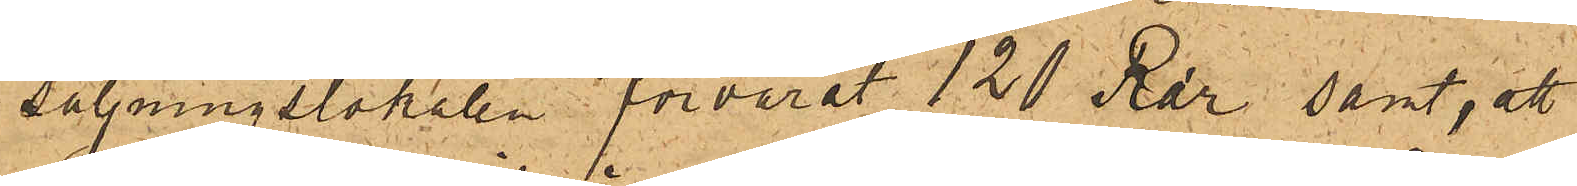säljningslokalen förvarat 120 Rdr samt, att
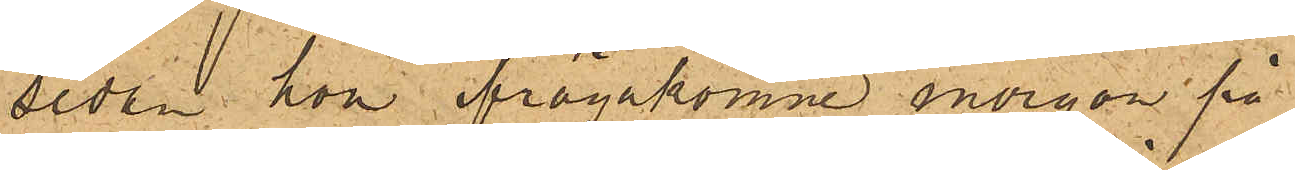sedan hon ifrågakomne morgon på
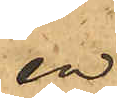en
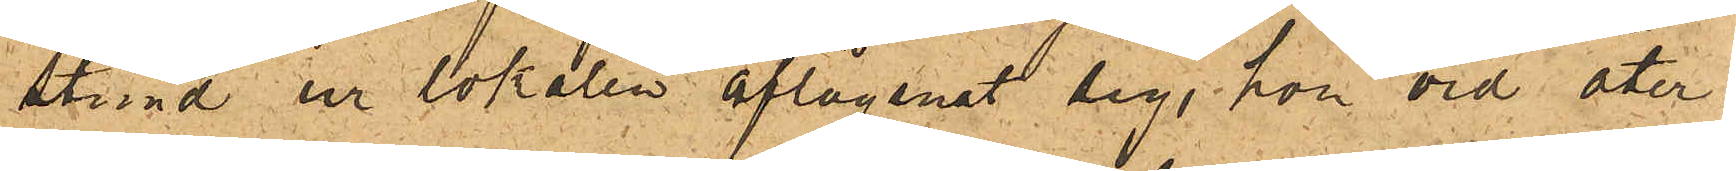stund ur lokalen aflägsnat sig, hon vid åter¬
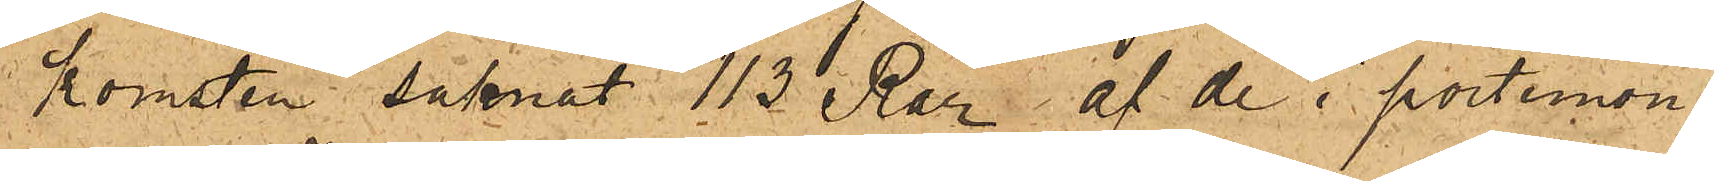komsten saknat 113 Rdr af de i portemon¬
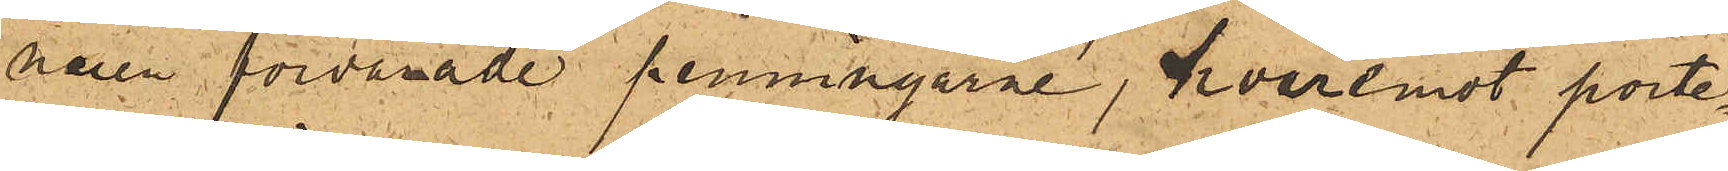naien förvarade penningarne, hvaremot porte¬
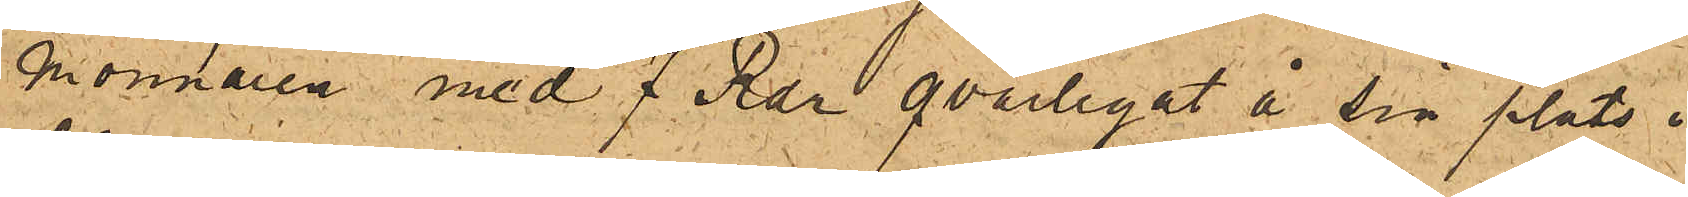monnaien med 7 Rdr qvarlegat å sin plats i
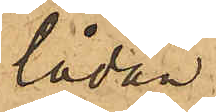lådan.
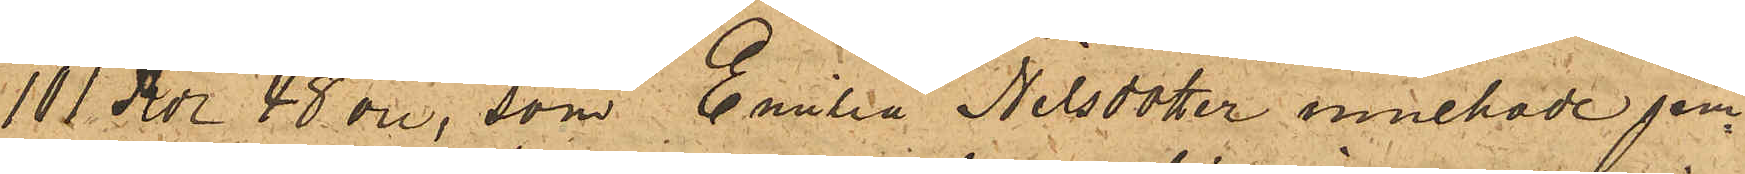101 Rdr 48 öre, som Emilia Nilsdotter innehade jem¬
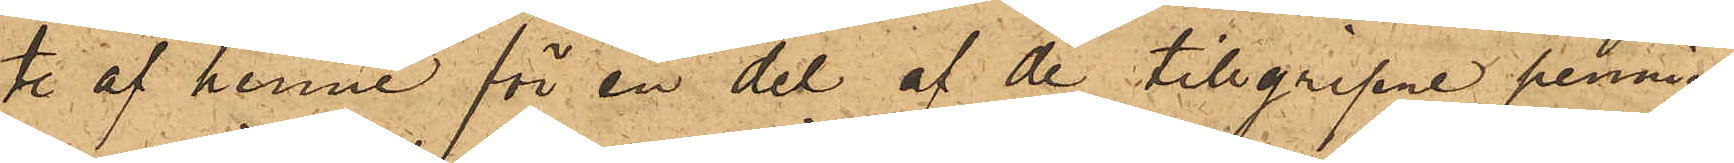te af henne för en del af de tillgripne penning¬
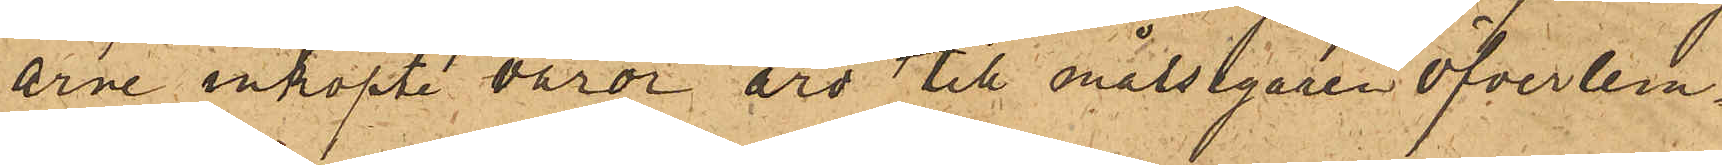arne inköpte varor äro till målsegaren öfverlem¬
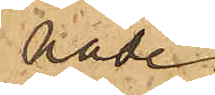nade.
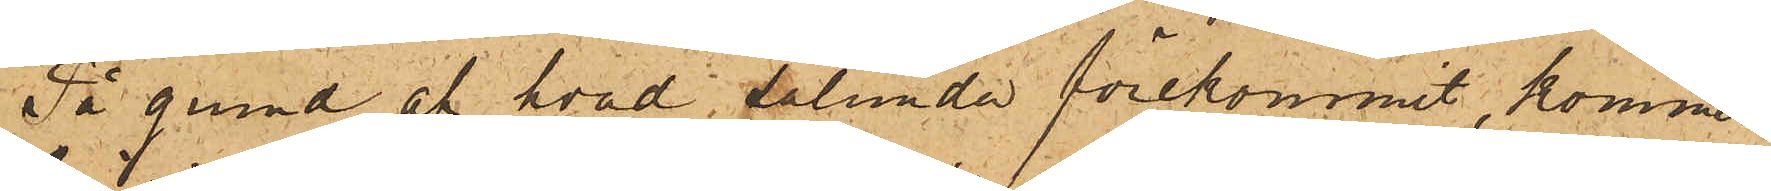På grund af hvad sålunda förekommit, kommer
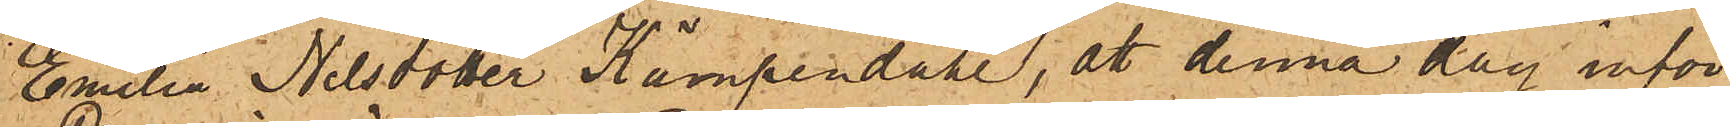Emilia Nilsdotter Kämpendahl, att denna dag inför
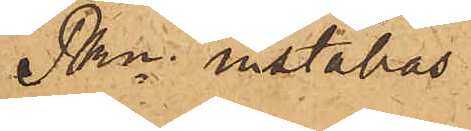Pkn inställas.
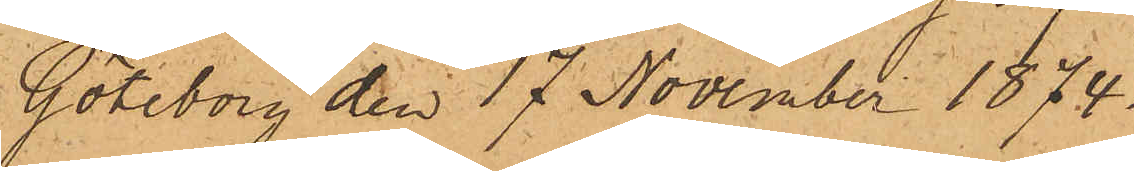Göteborg den 17 November 1874.
